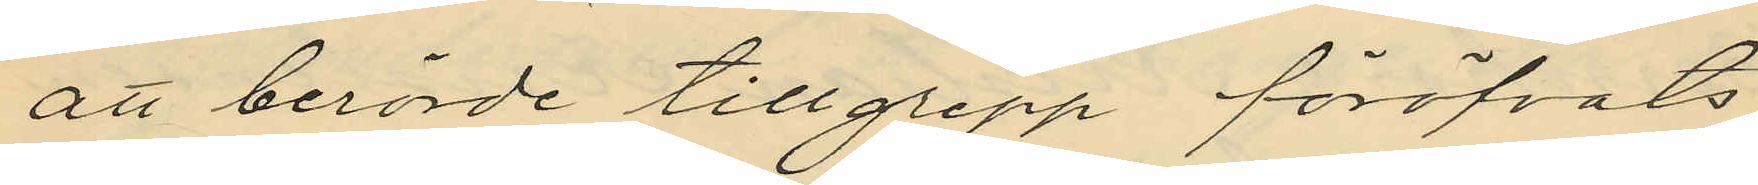att berörde tillgrepp föröfvats
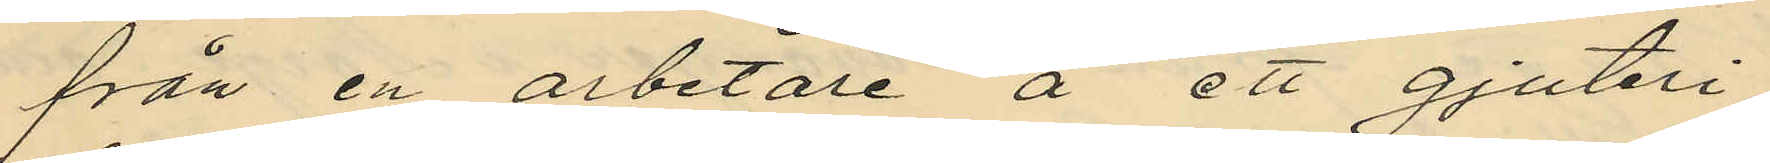från en arbetare å ett gjuteri,
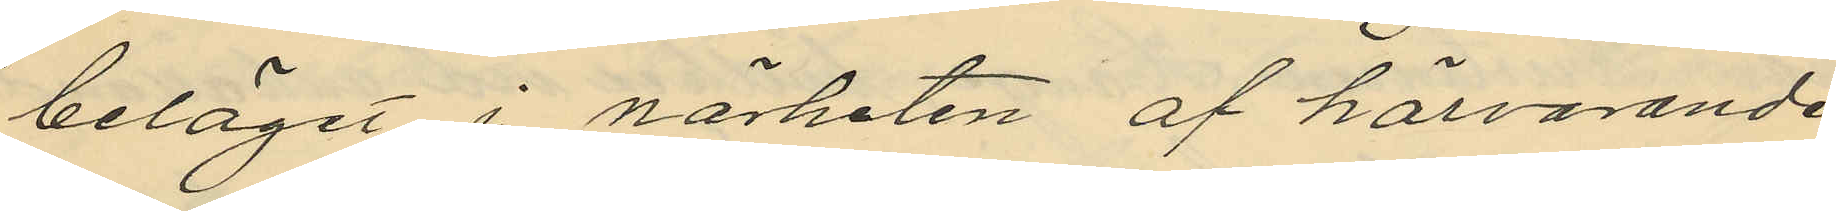beläget i närheten af härvarande
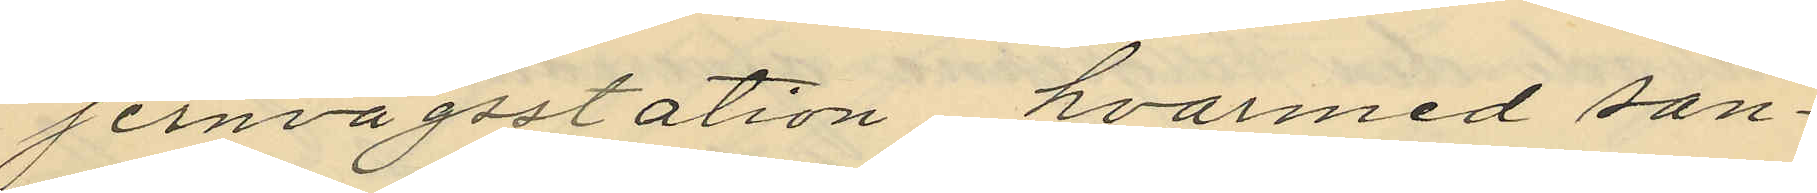jernvägsstation, hvarmed san¬
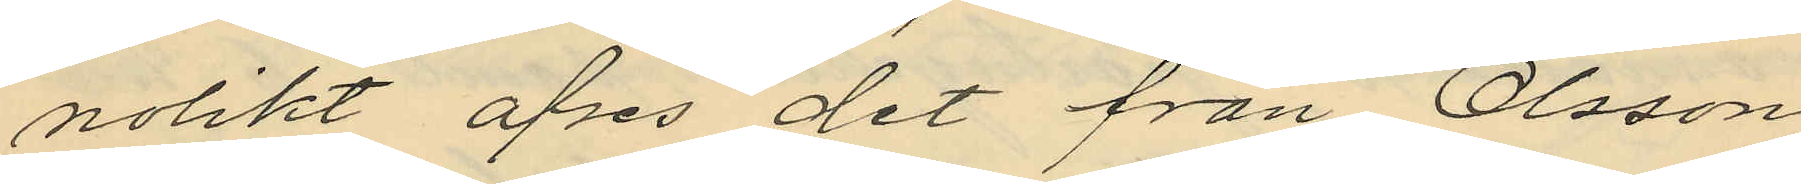nolikt afses det från Olsson
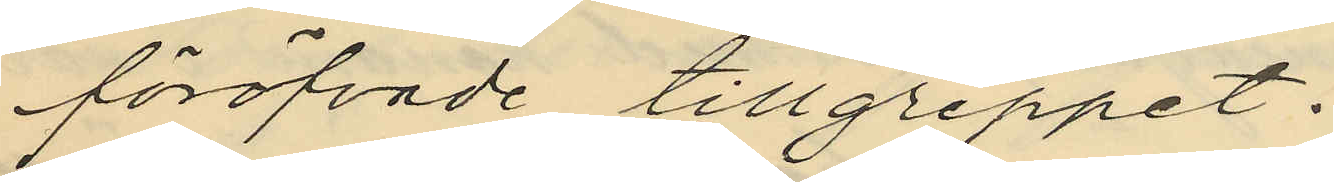föröfvade tillgreppet.
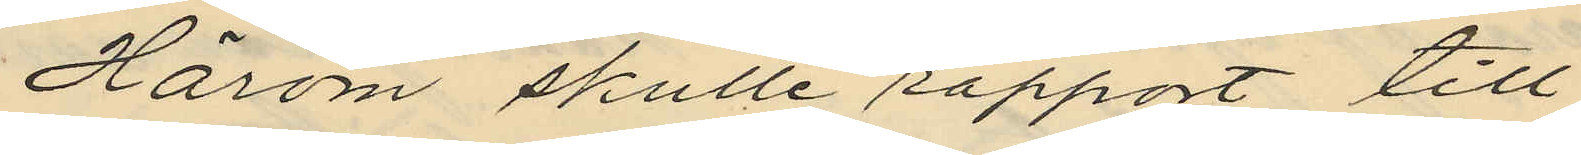Härom skulle rapport till
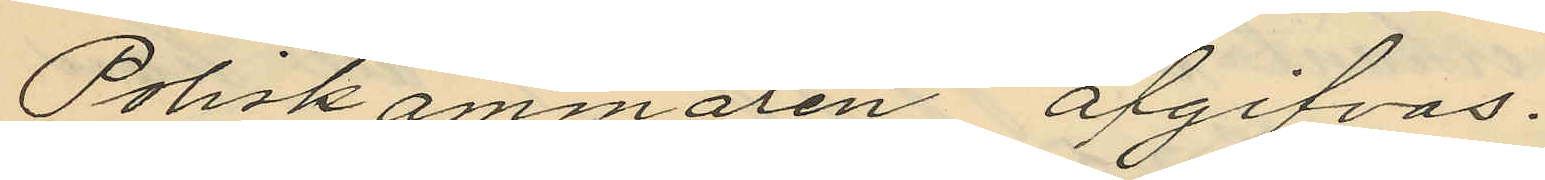Poliskammaren afgifvas.
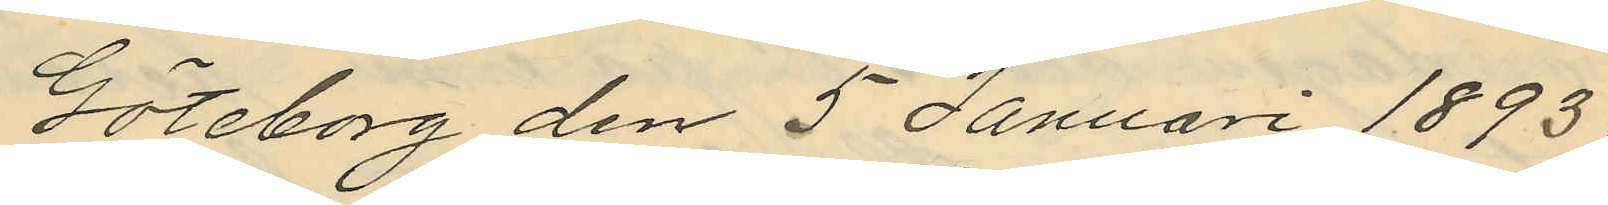Göteborg den 5 Januari 1893.
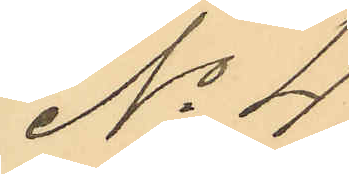No 4.
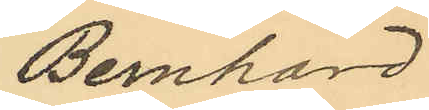Bernhard
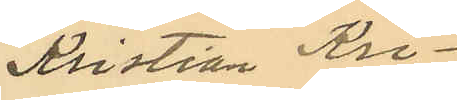Kristian Kri¬
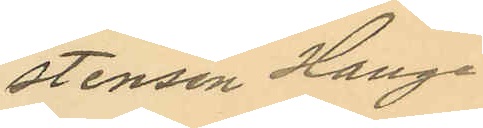stensen Hange.
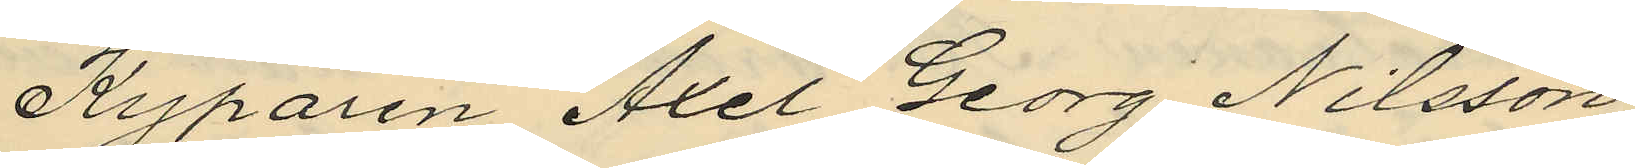Kyparen Axel Georg Nilsson,
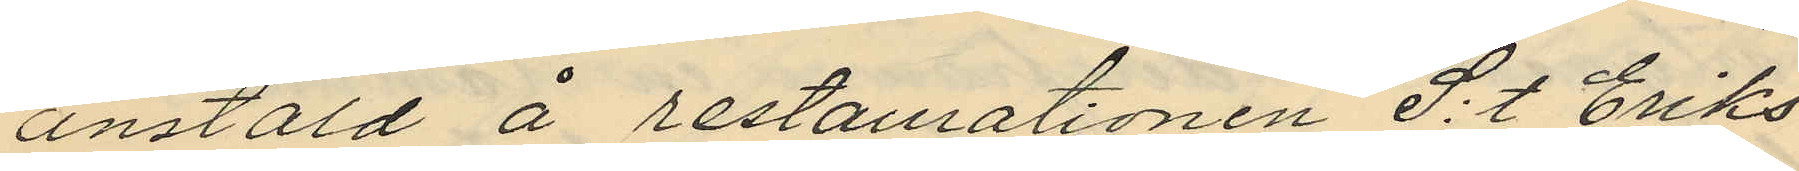anstäld å restaurationen S:t. Eriks
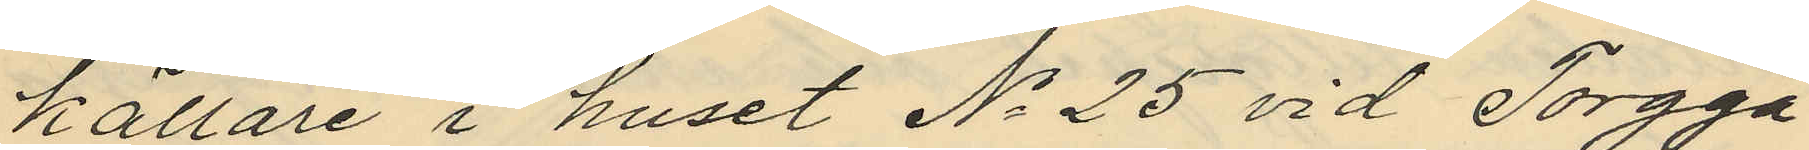källare i huset No 25 vid Torgga¬
